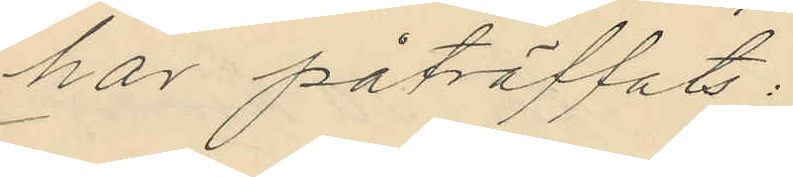har påträffats.
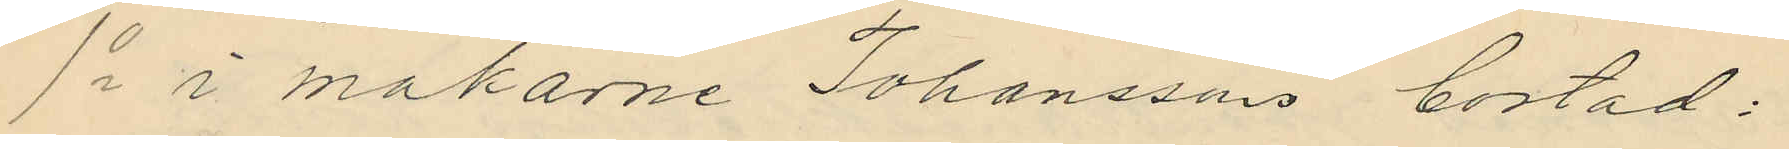1o i makarne Johanssons bostad;
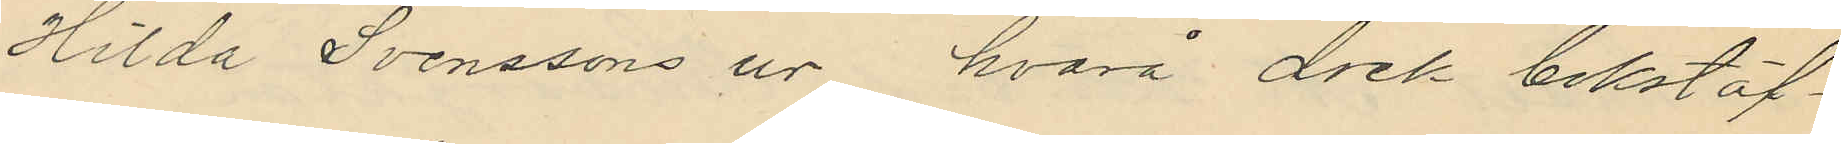Hilda Svenssons ur hvarå dock bokstäf¬
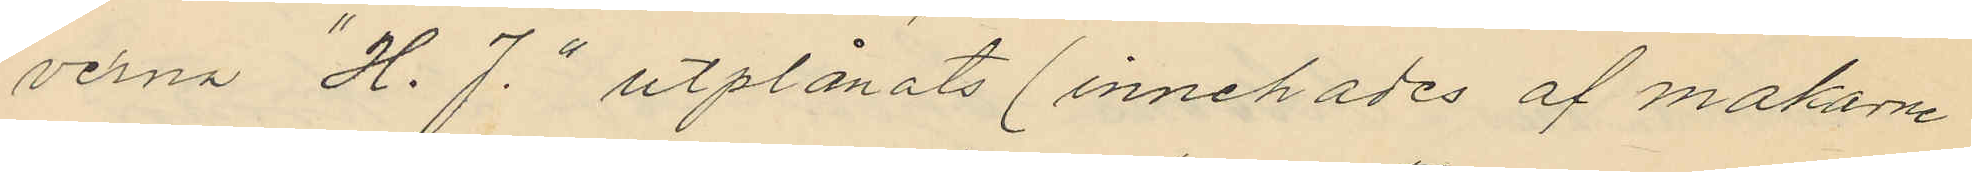verna "H. J." utplånats (innehades af makarne
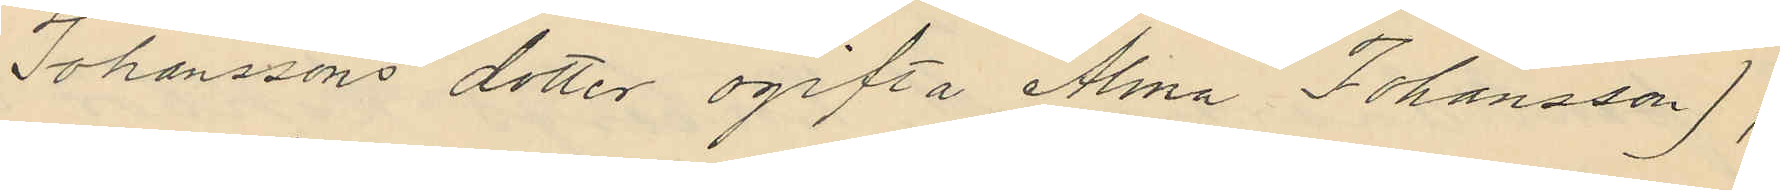Johanssons dotter ogifta Alma Johansson);
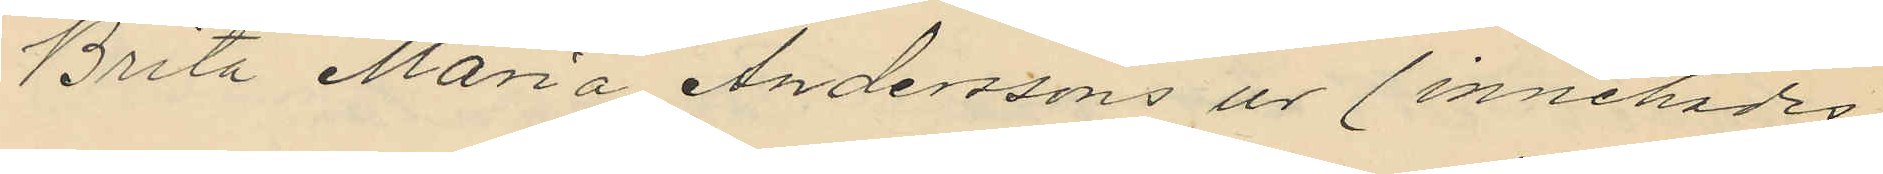Brita Maria Anderssons ur (innehades
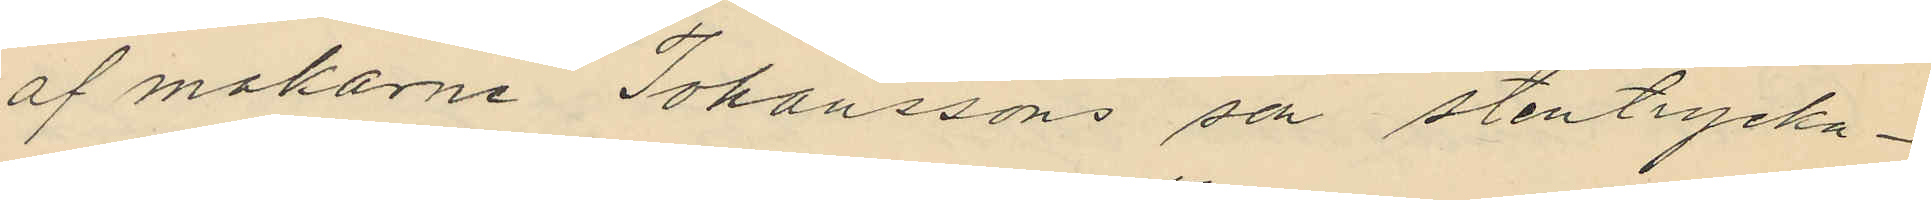af makarne Johanssons son stentrycka¬
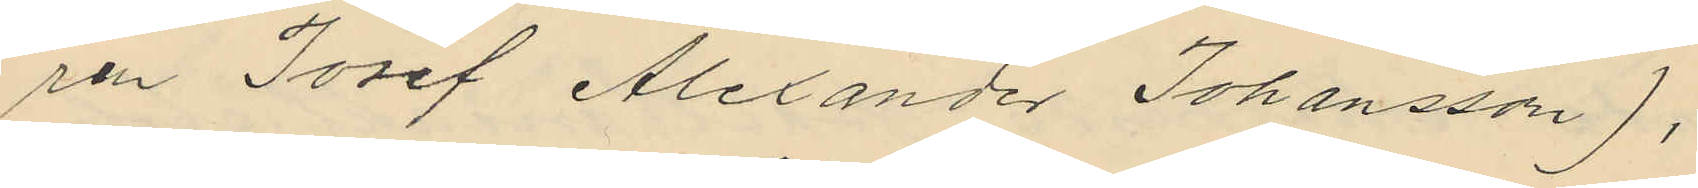ren Josef Alexander Johansson),
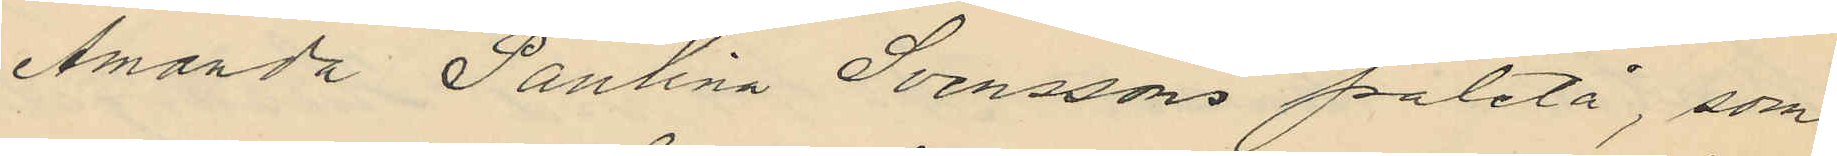Amanda Paulina Svenssons paletå, som
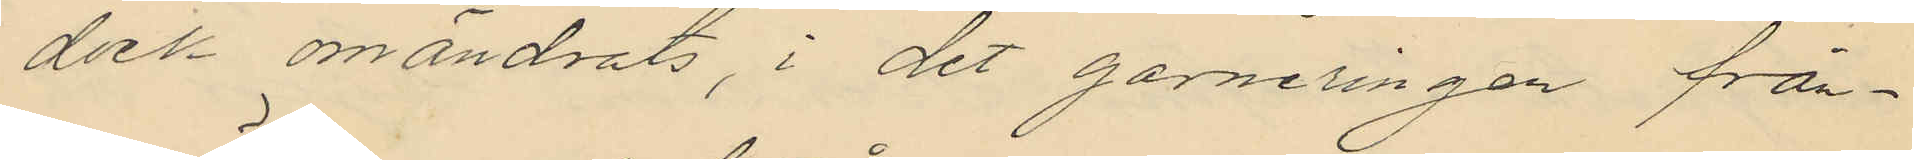dock omändrats, i det garneringen från¬
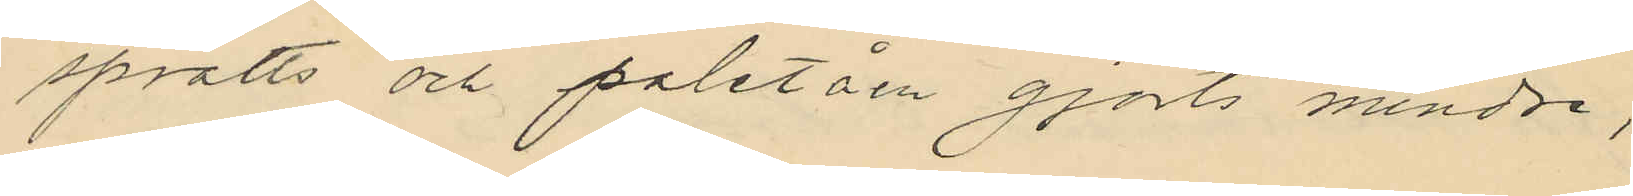sprätts och paletåen gjorts mindre,
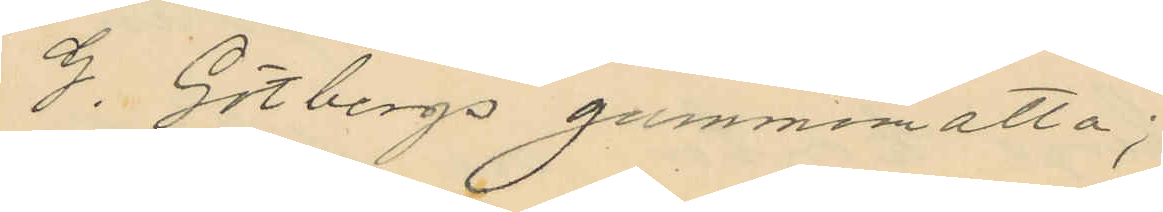G. Götbergs gummimatta;
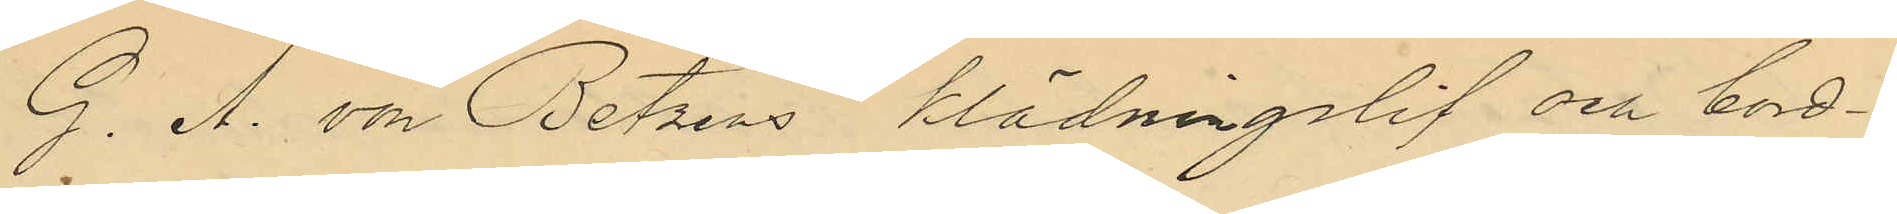G. A. von Betzens klädningslif och bord¬
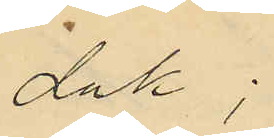duk;
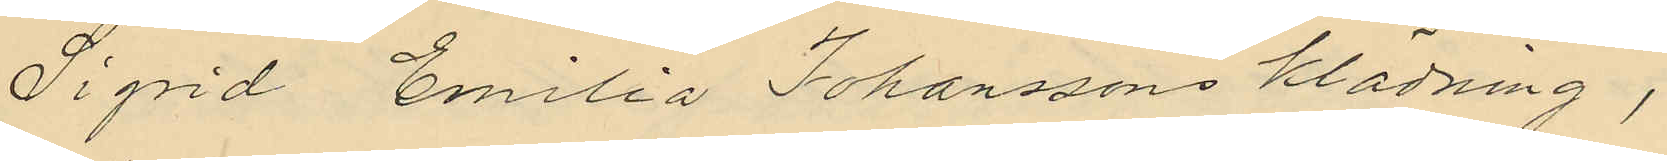Sigrid Emilia Johanssons klädning,
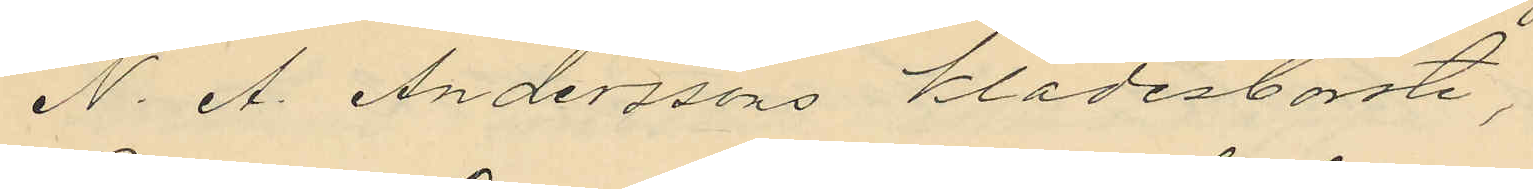N. A. Anderssons klädesborste,
